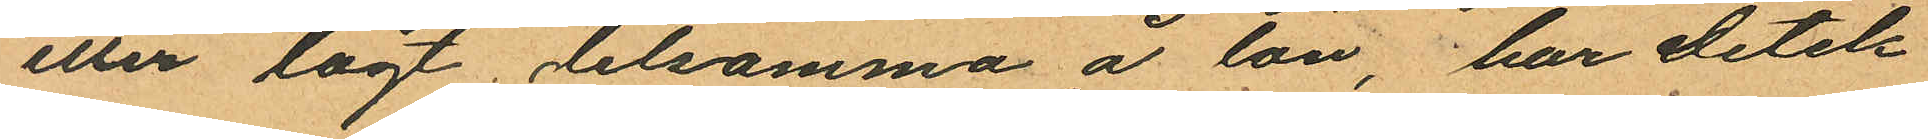eller lagt detsamma å lön, har detek¬
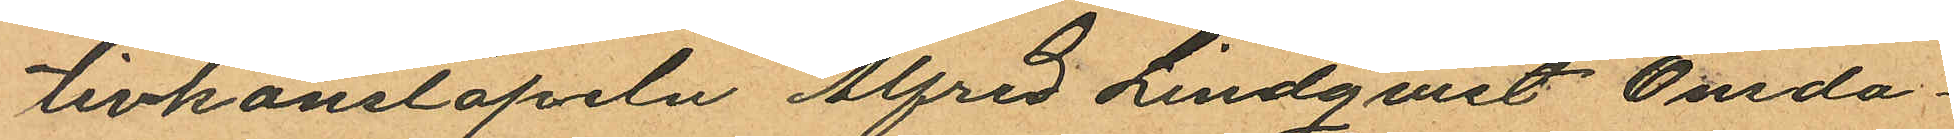tivkonstapeln Alfred Lindqvist Onsda¬
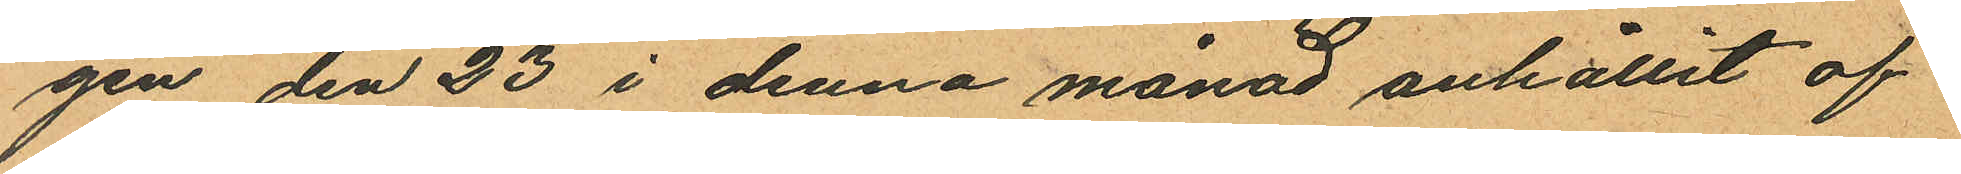gen den 23 i denna månad anhållit of¬
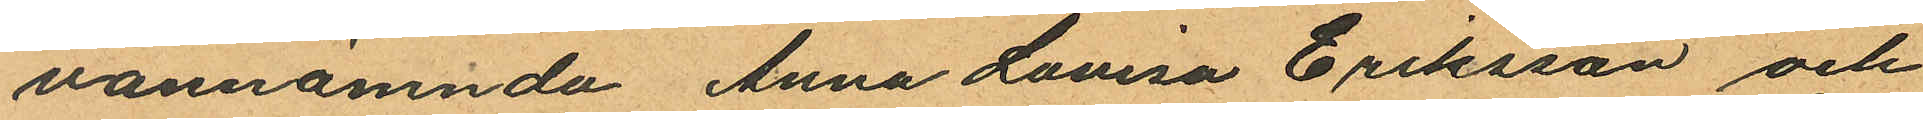vannämnda Anna Lovisa Eriksson och
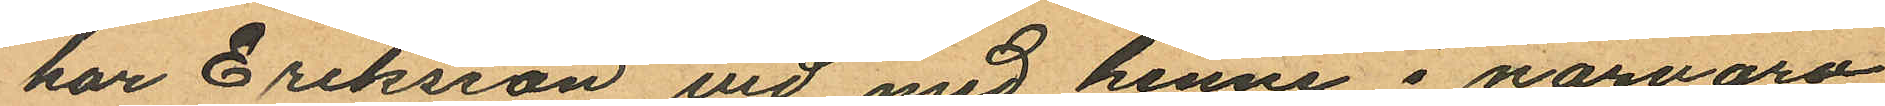har Eriksson vid med henne i närvaro
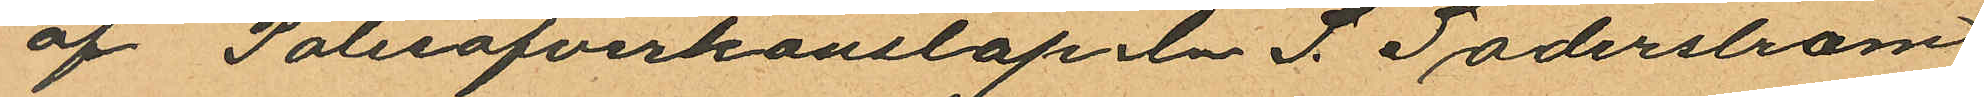af Polisöfverkonstapeln S. Söderström
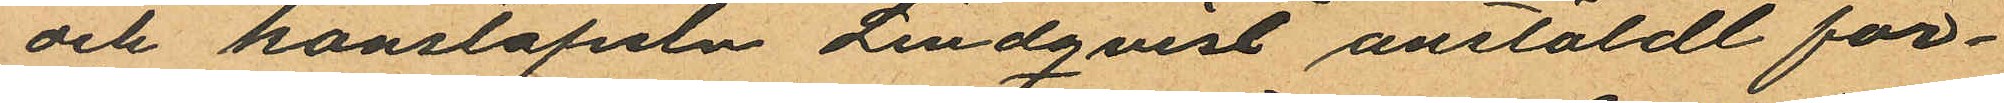och konstapeln Lindqvist anstäldt för¬
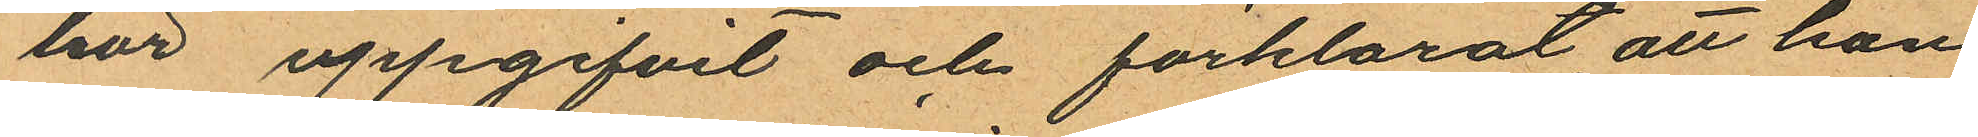hör uppgifvit och förklarat, att hon
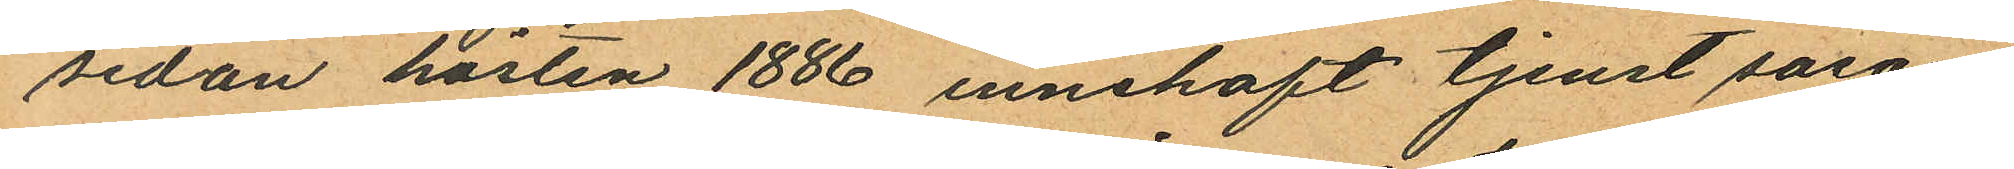sedan hösten 1886 innehaft tjenst såsom
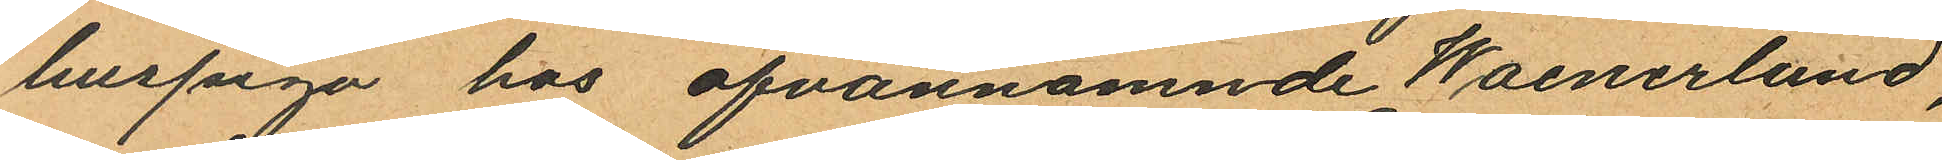huspiga hos ofvannämnde Waenerlund,
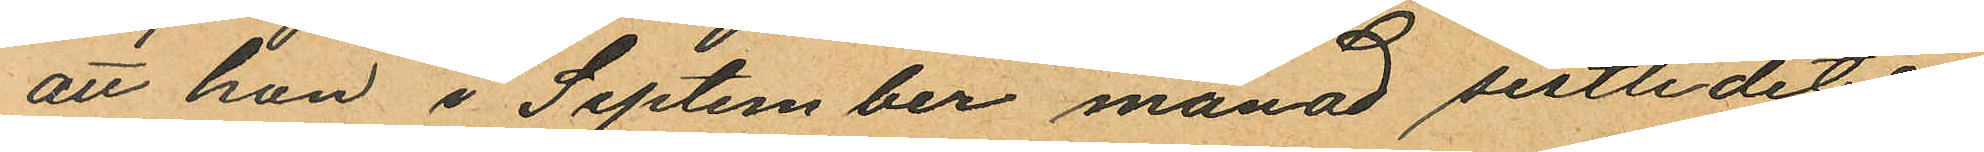att hon i September månad sistlidet år
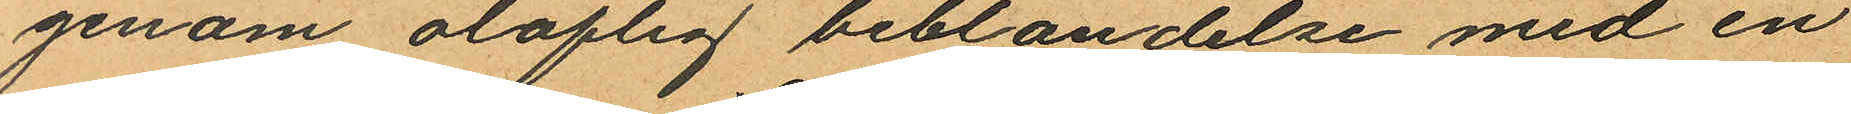genom oloflig beblandelse med en
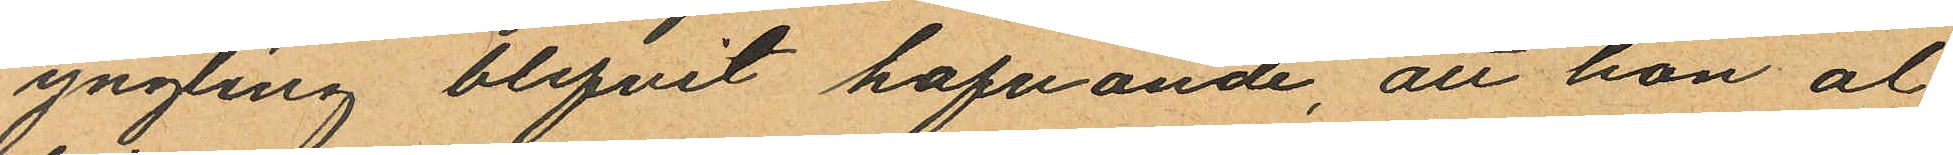yngling blifvit hafvande, att hon al¬
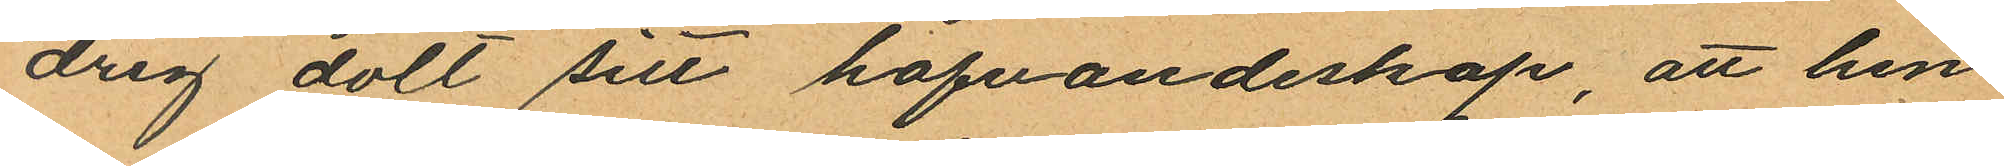drig dolt sitt hafvandeskap, att hen¬
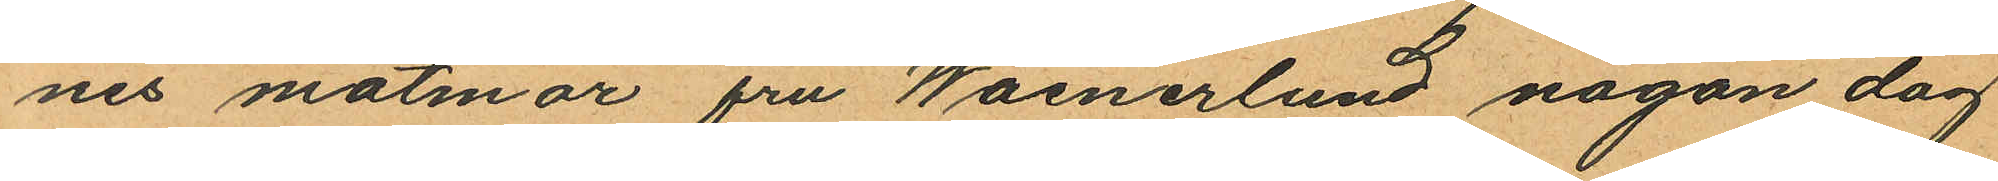nes matmor fru Waenerlund någon dag
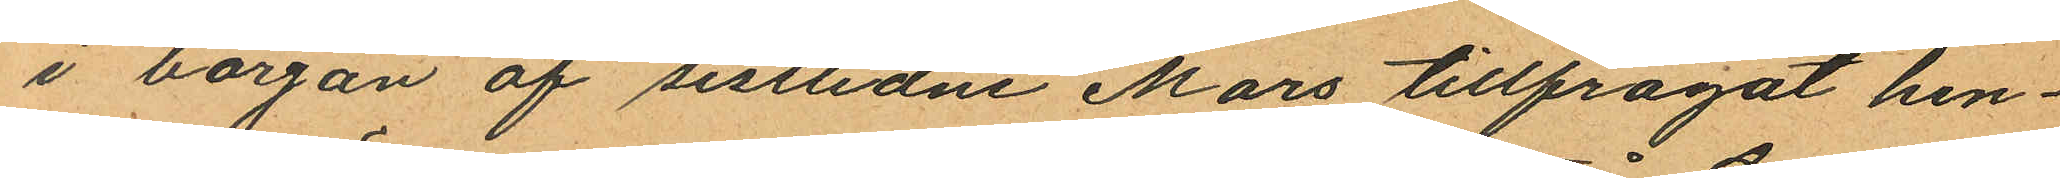i början af sistlidne Mars tillfrågat hen¬
